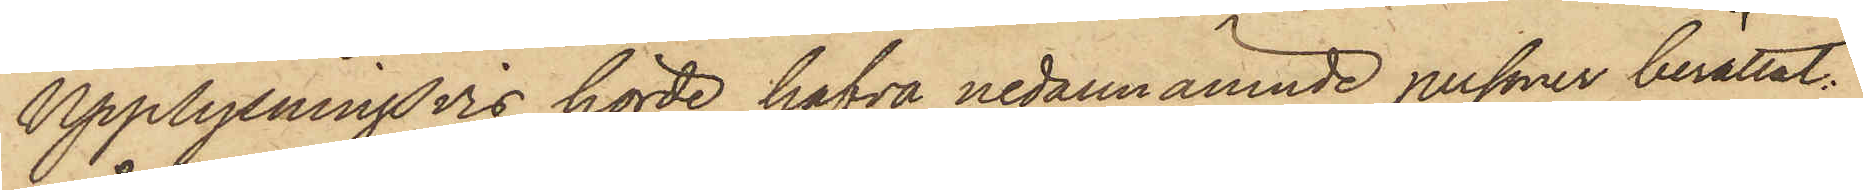Upplysningsvis hörde hafva nedannämnde personer berättat:
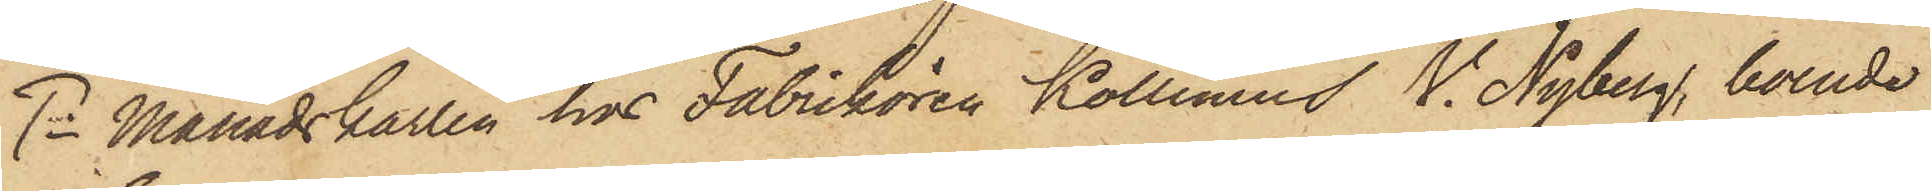1o Månadskarlen hos Fabrikören Kollinius V. Nyberg, boende
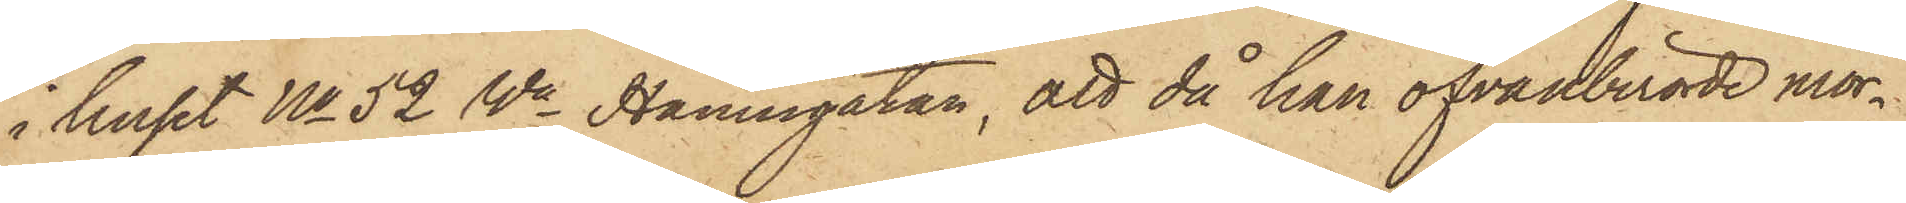i huset No 52 Wa Hamngatan, att då han ofvanberörde mor¬
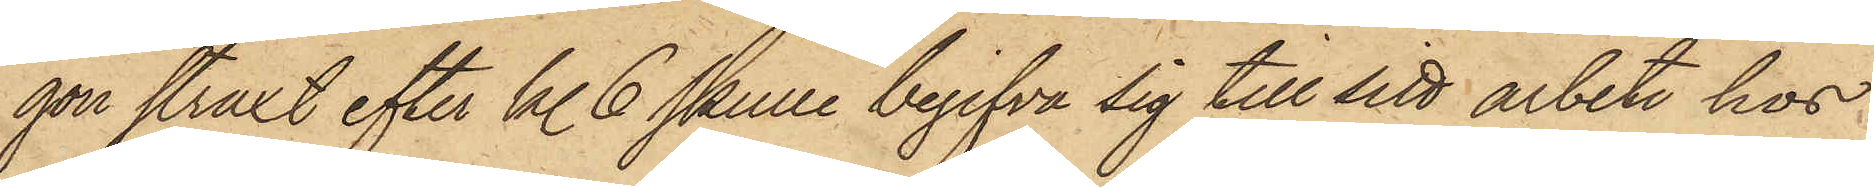gon straxt efter kl. 6 skulle begifva sig till sitt arbete hos
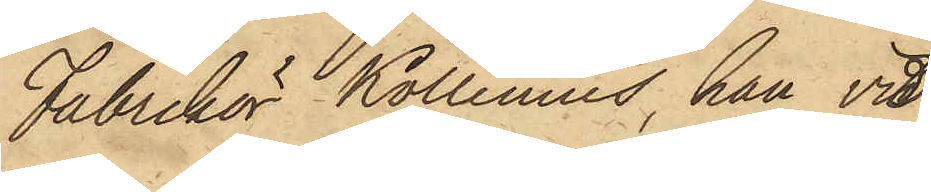Fabrikör Kollinius, han vid
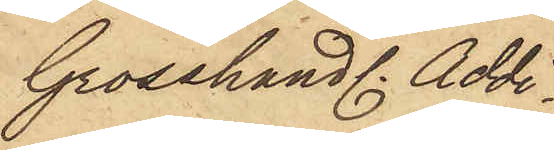Grosshandl. Addi¬
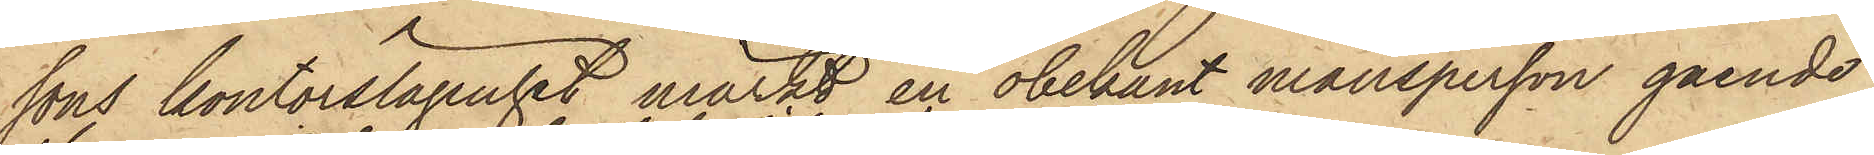sons kontorslägenhet märkt en obekant mansperson gående
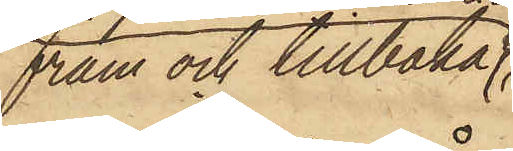fram och tillbaka
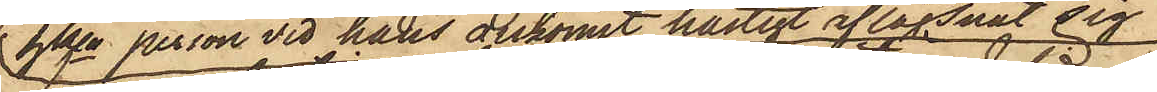hken person vid hans ankomst hastigt aflägsnat sig;
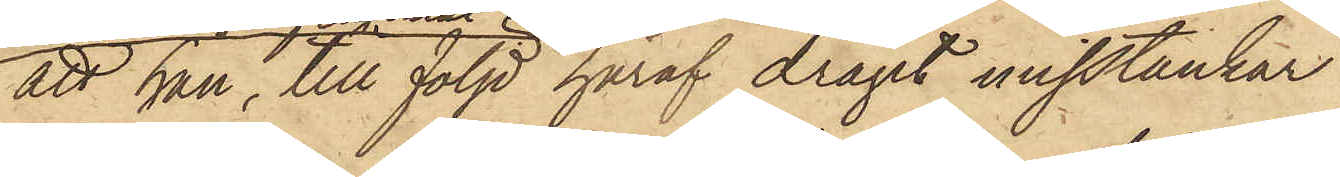att han, till följd häraf dragit misstankar
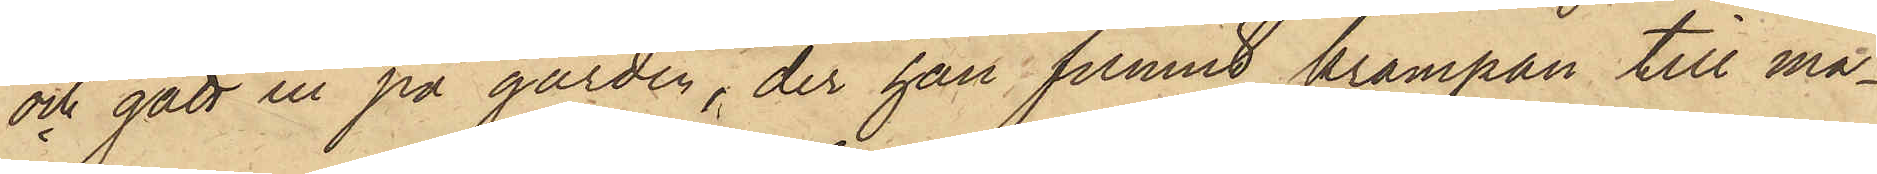och gått en på gården, der han funnit krampan till ma¬
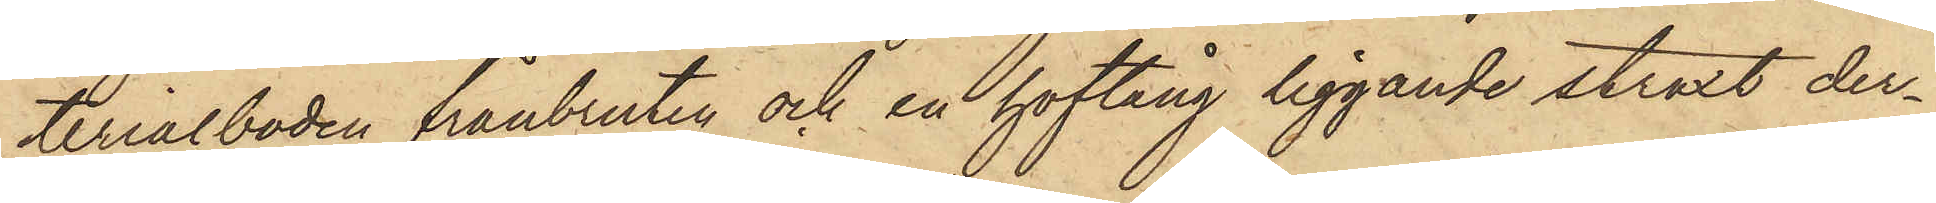terialboden frånbruten och en hoftång liggande straxt der¬
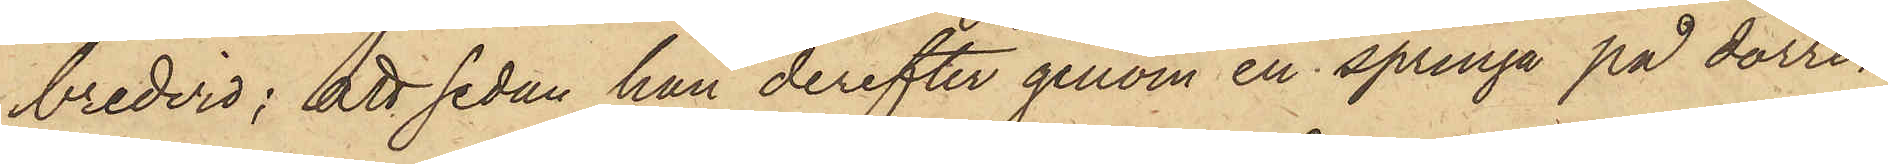bredvid; att sedan han derefter genom en springa på dörren
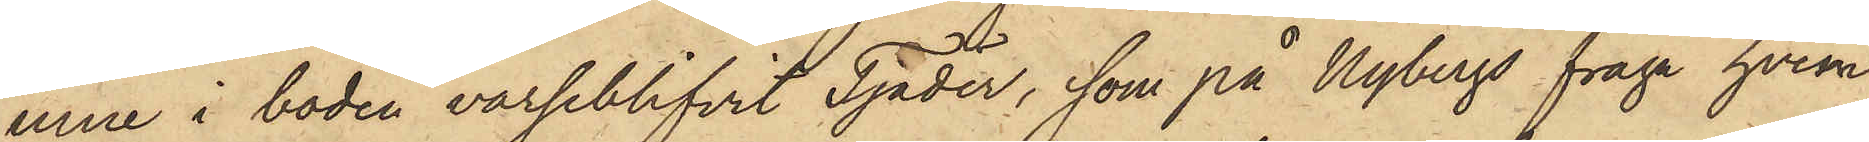inne i boden varseblifvit Tjäder, som på Nybergs fråga hvem
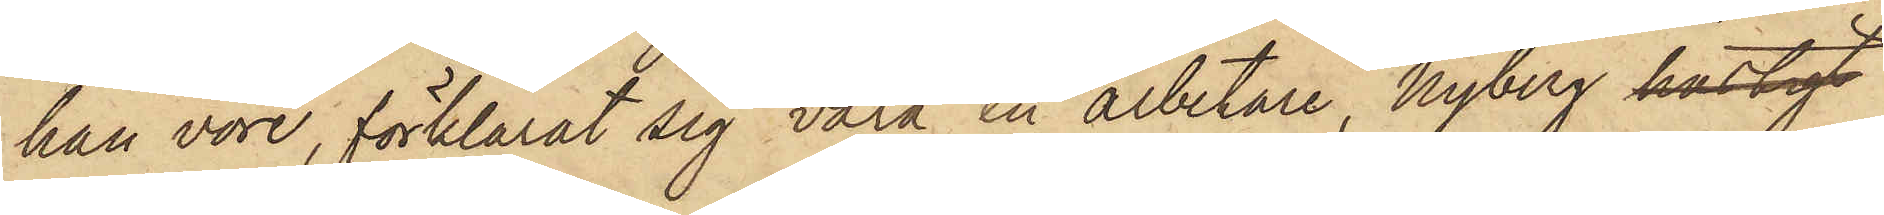han vore, förklarat sig vara en arbetare, Nyberg hastigt
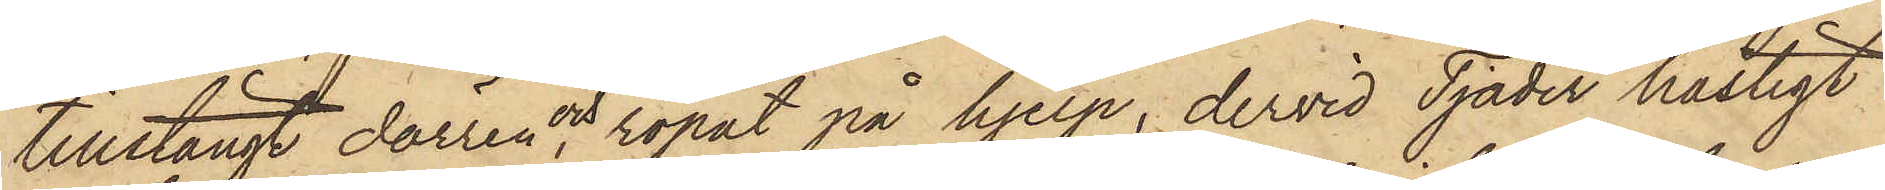tillstängt dörren och ropat på hjelp, dervid Tjäder hastigt
